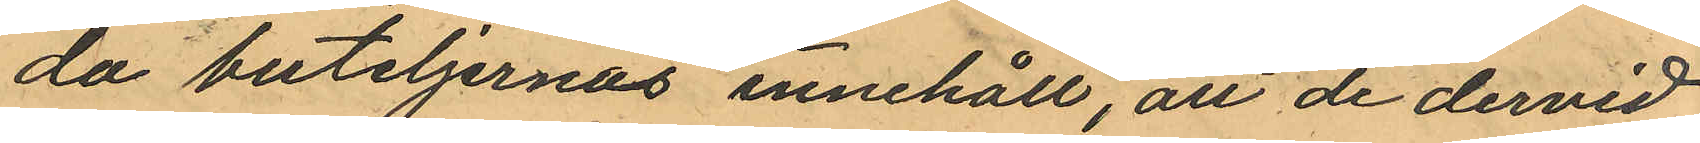da buteljernas innehåll, att de dervid
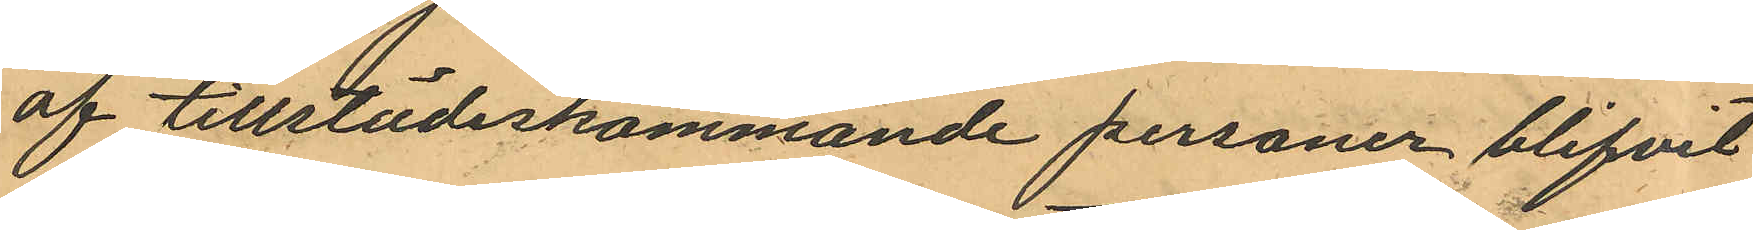af tillstädeskommande personer blifvit
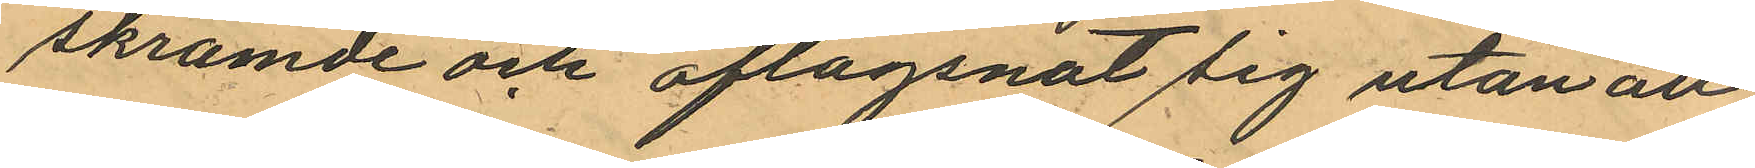skrämde och aflägsnat sig utan att
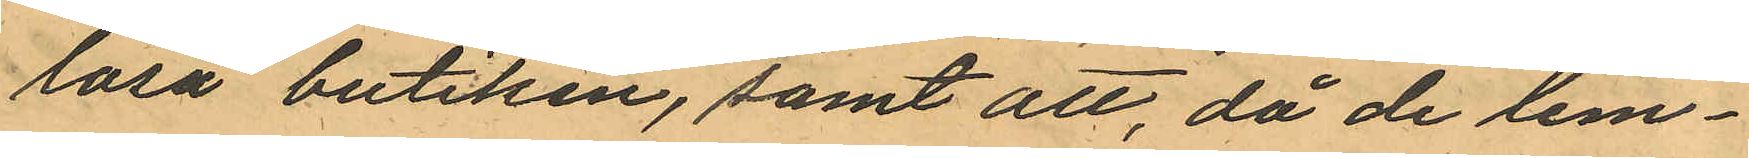låsa butiken, samt att, då de lem¬
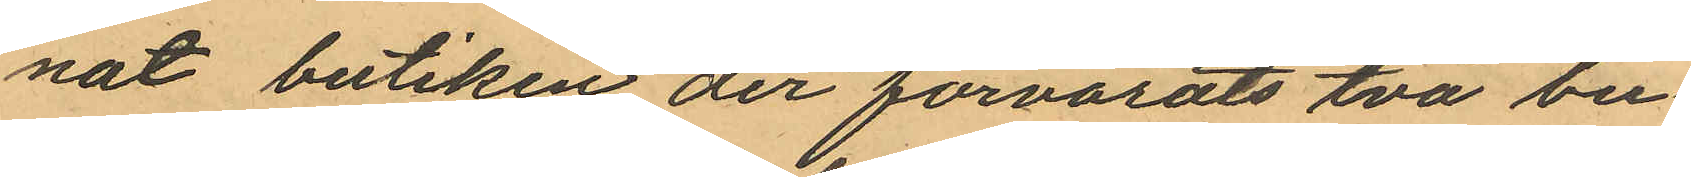nat butiken der förvarats två bu¬
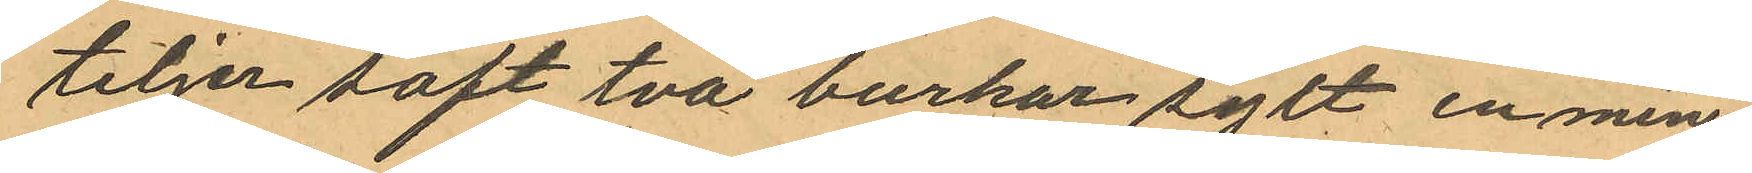teljer saft två burkar sylt en min¬
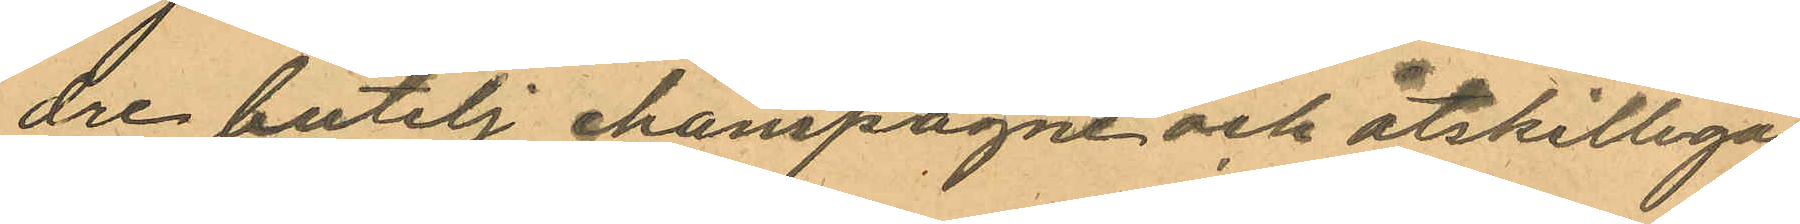dre butelj champagne och åtskilliga
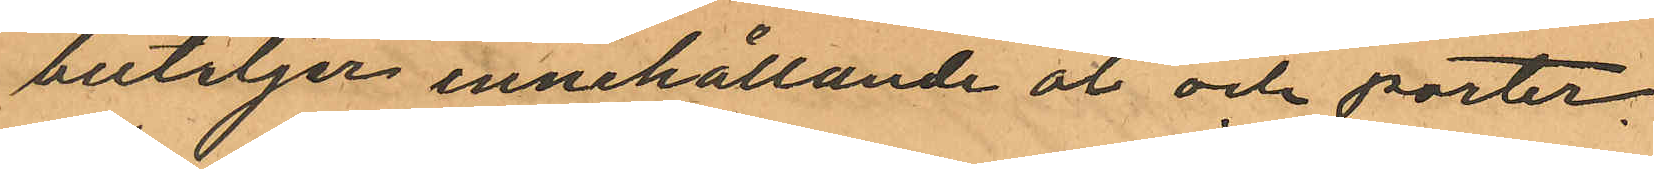buteljer innehållande öl och porter.
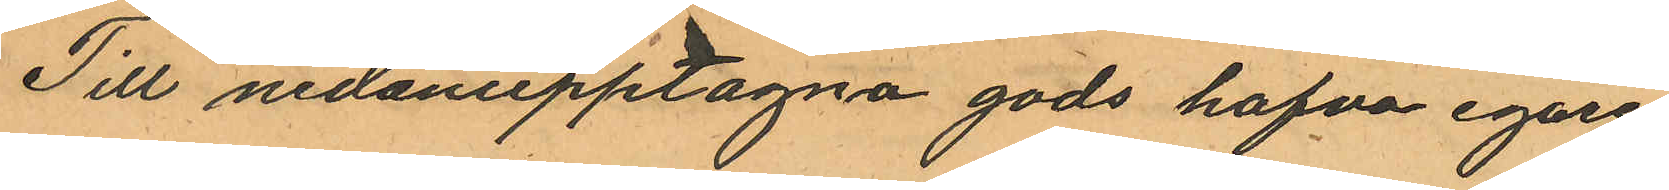Till nedanupptagna gods hafva egare
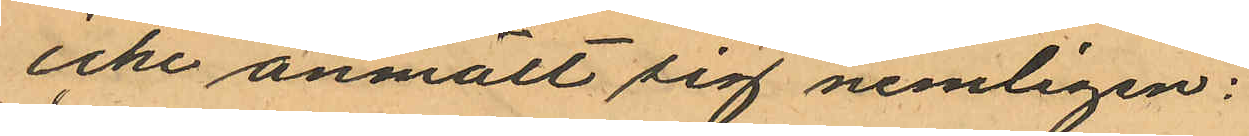icke anmält sig nemligen:
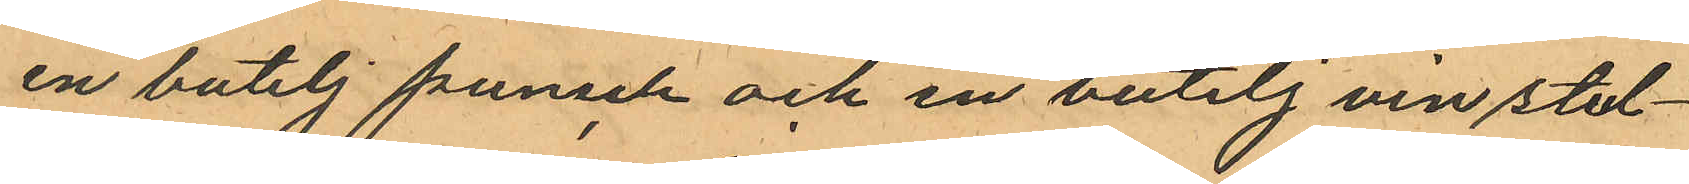en butelj punsch och en butelj vin stul¬
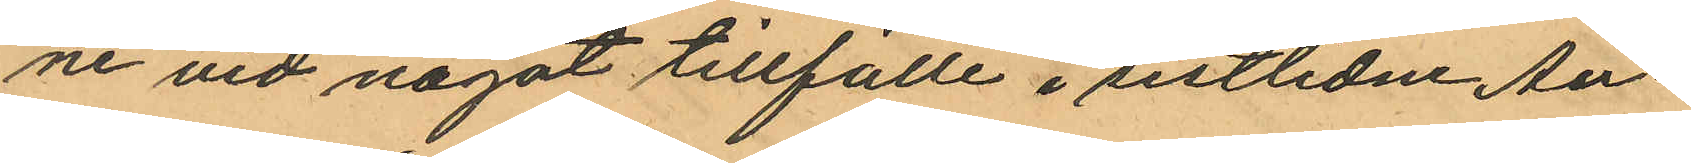ne vid något tillfälle i sistlidne Au¬
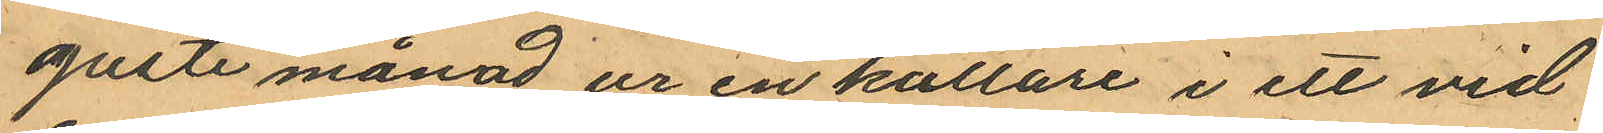gusti månad ur en källare i ett vid
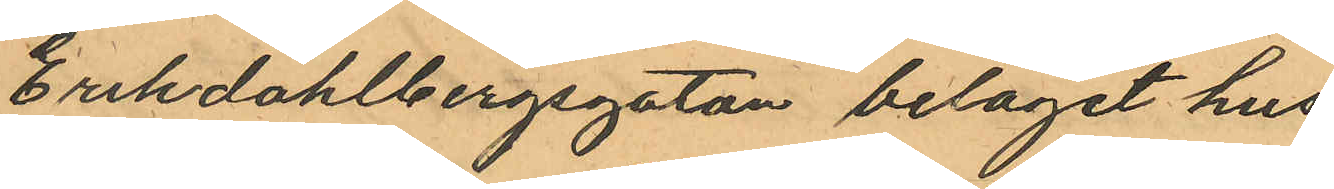Erikdahlbergsgatan beläget hus
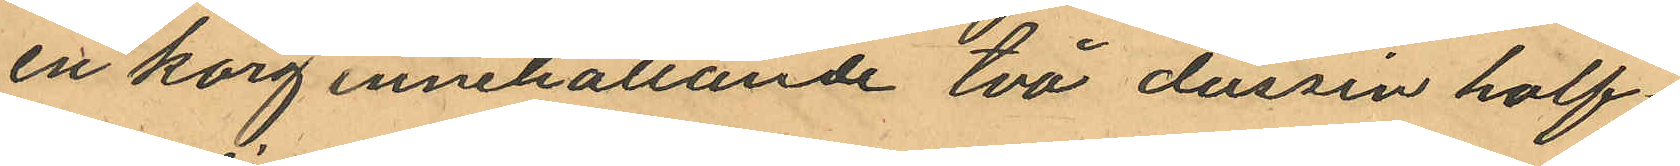en korg innehållande två dussin half¬
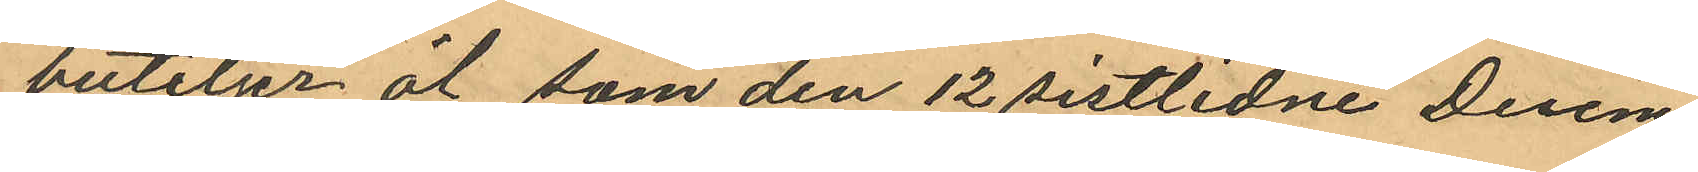buteljer öl, som den 12 sistlidne Decem¬
